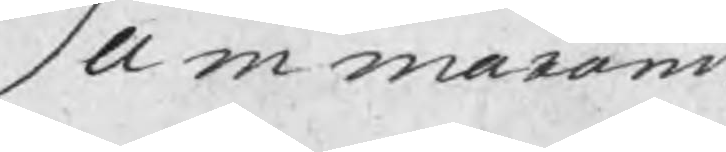Summarum
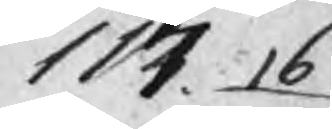117. 16
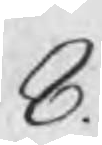8.
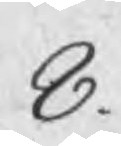8.
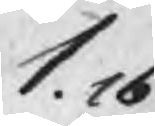1. 16
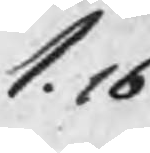1. 16
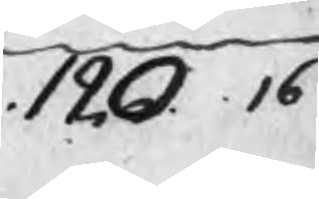120. 16
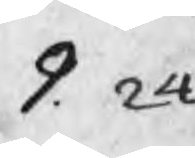9. 24
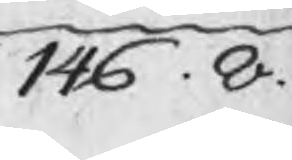146. 8.
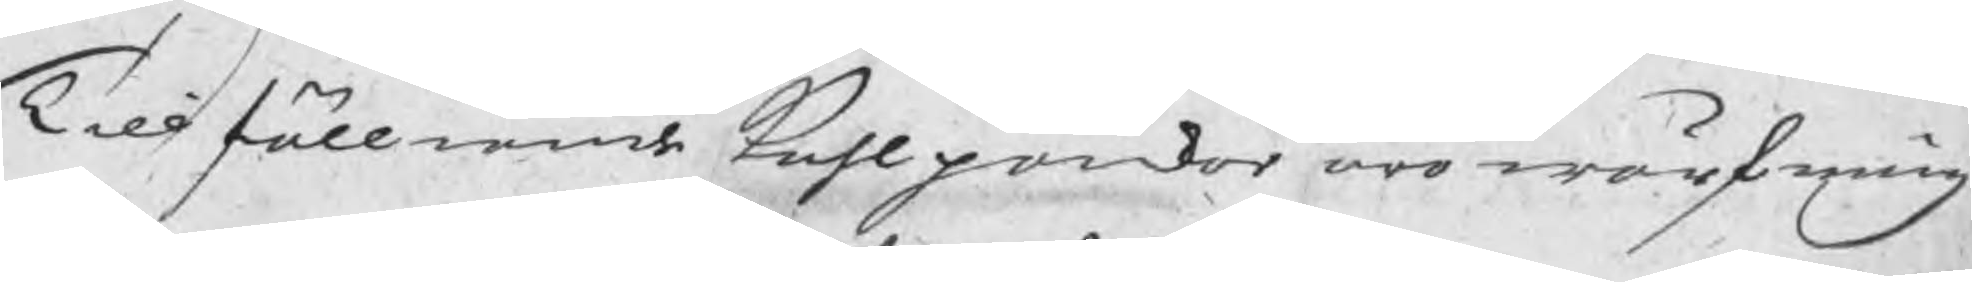Till fölliande Kohlpoikar äro wärfning
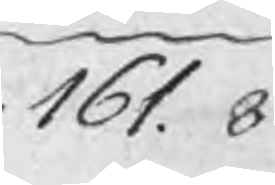161. 8
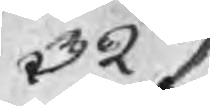329
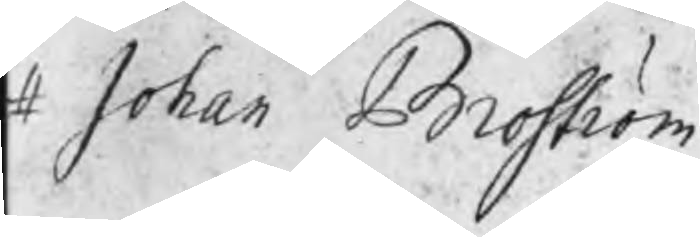# Johan Broström
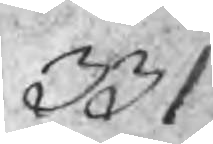331
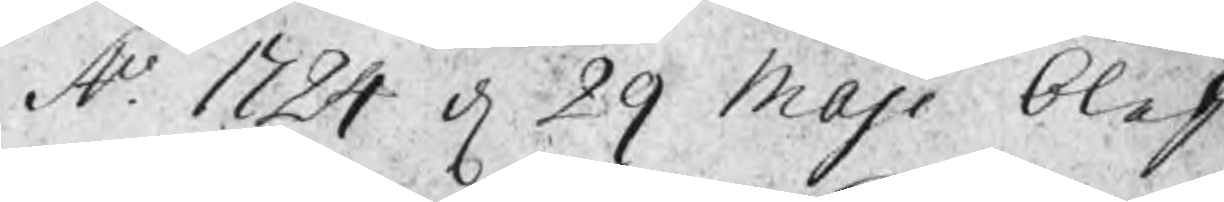A.o 1724 d 29 Maji blef
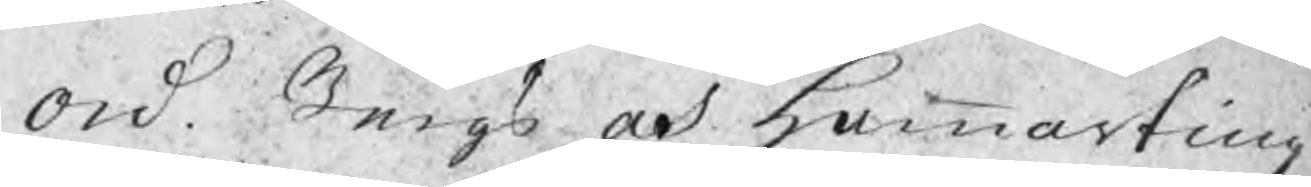ord. Bergs och Hammarting
